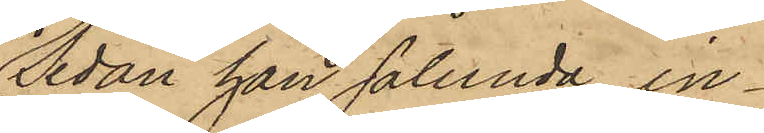Sedan han sålunda in¬
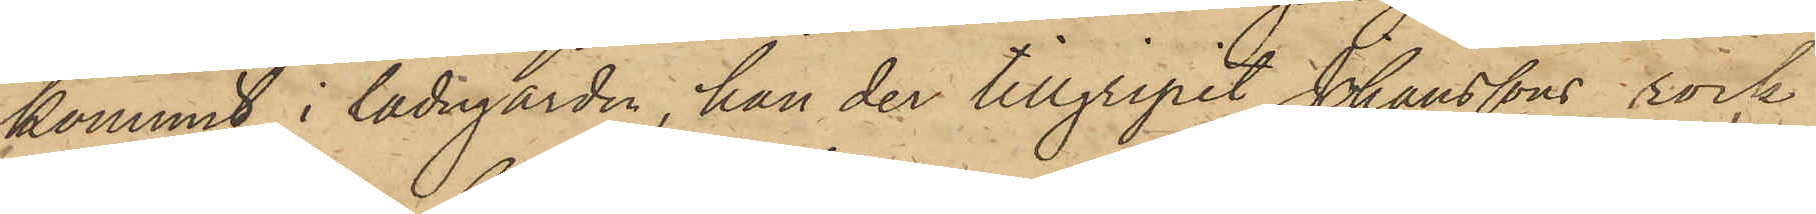kommit i ladugården, han der tillgripit Johanssons rock,
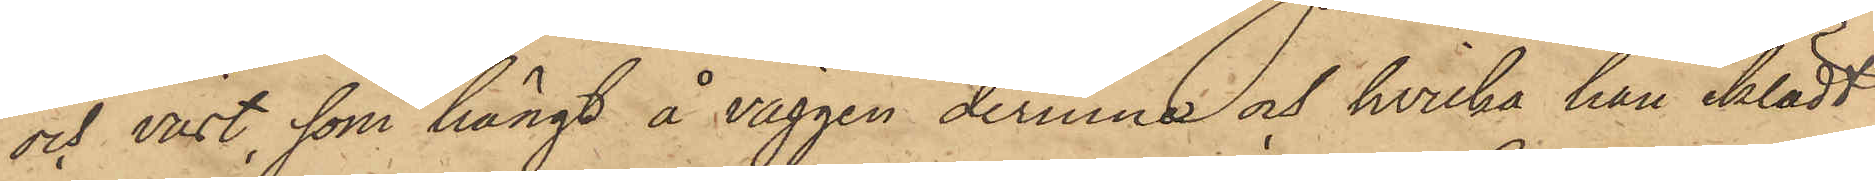och väst, som hängt å väggen derinne och hvilka han iklädt
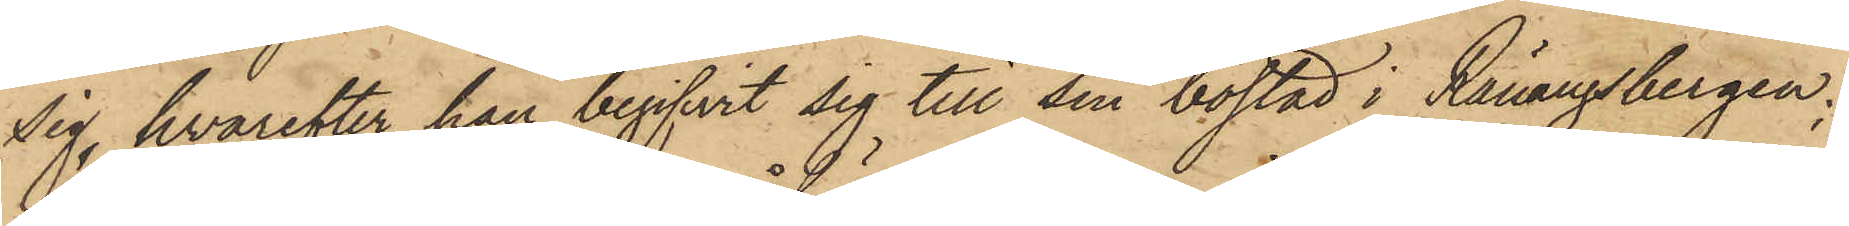sig, hvarefter han begifvit sig till sin bostad i Ranängsbergen;
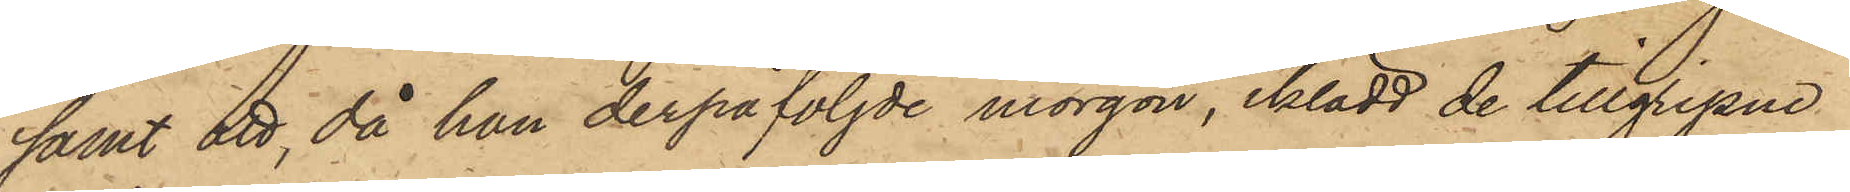samt att, då han derpåföljde morgon, iklädd de tillgripne
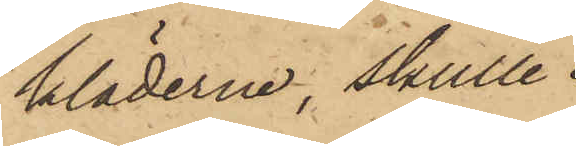kläderna, skulle
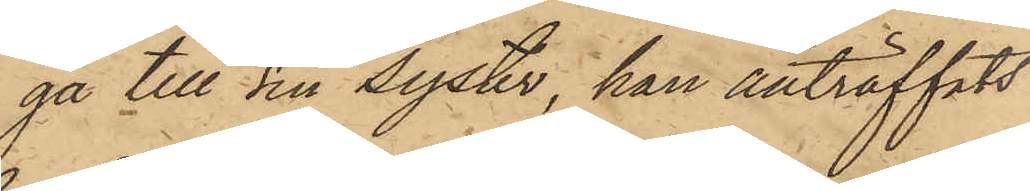gå till sin syster, han anträffats
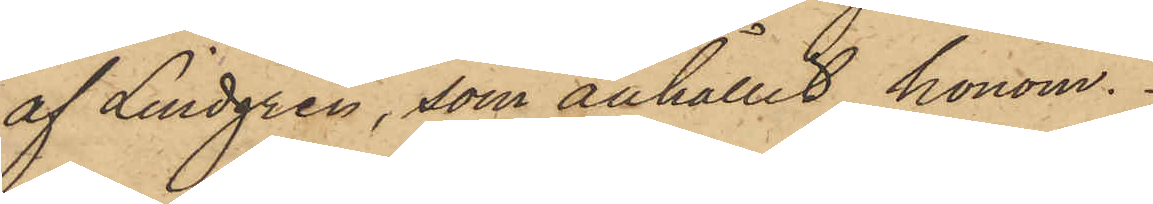af Lindgren, som anhållit honom.
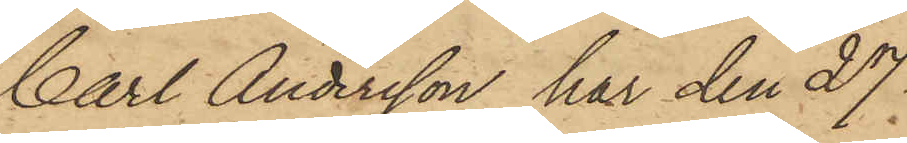Carl Andersson har den 27
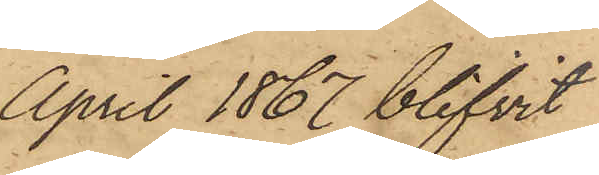April 1867 blifvit
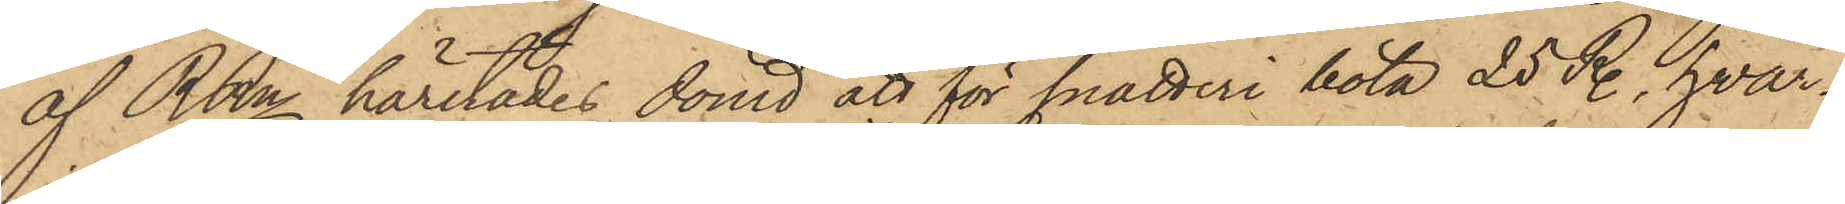af RRn härstädes dömd att för snatteri böta 25 R., hvar¬
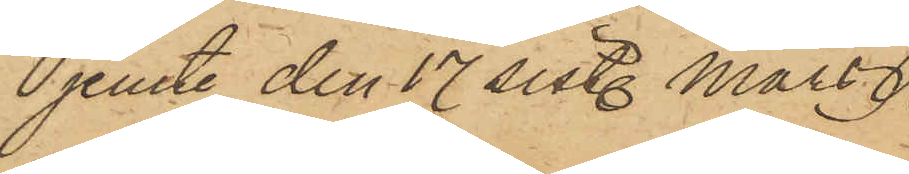jemte den 17 sistl. Mars
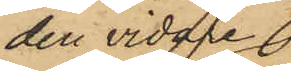den vidare
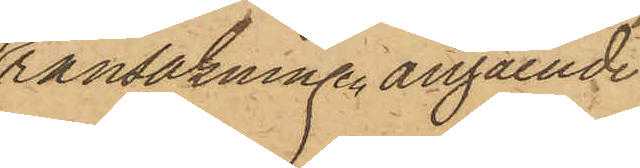ransakningen, angående
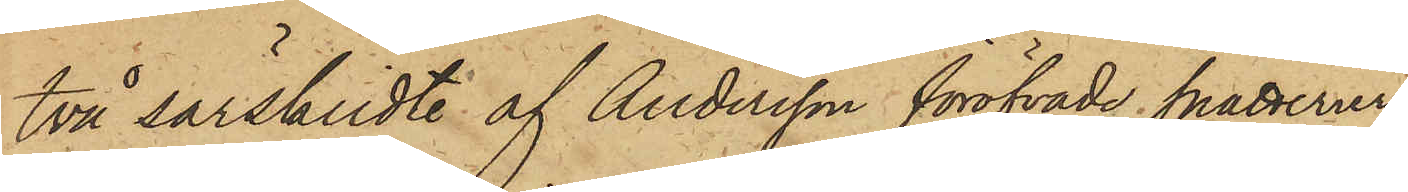två särskildte af Andersson föröfvade snatterier
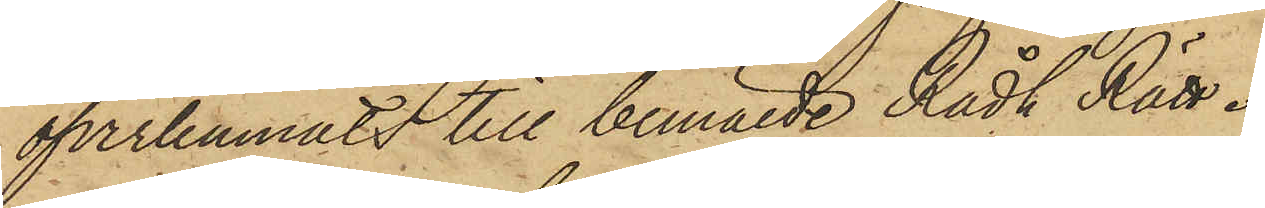öfverlemnats till bemälde Rådh Rätt.
